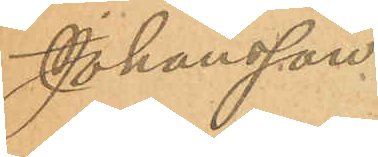Johansson.
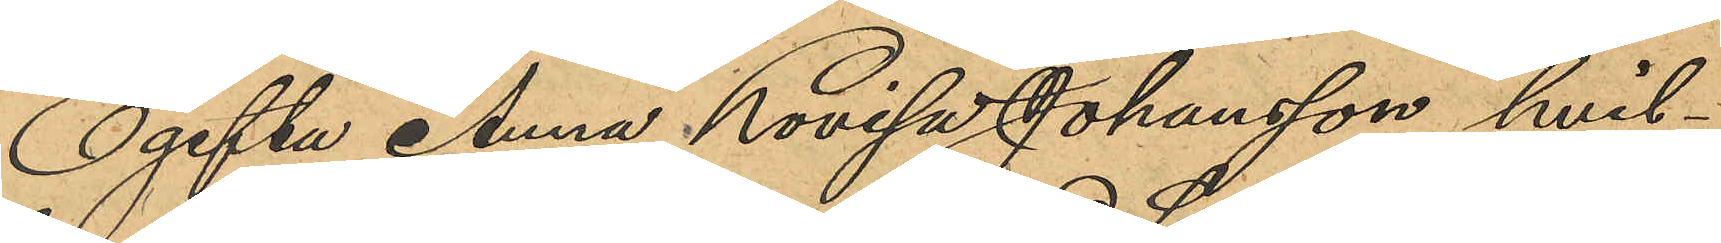Ogifta Anna Lovisa Johansson, hvil¬
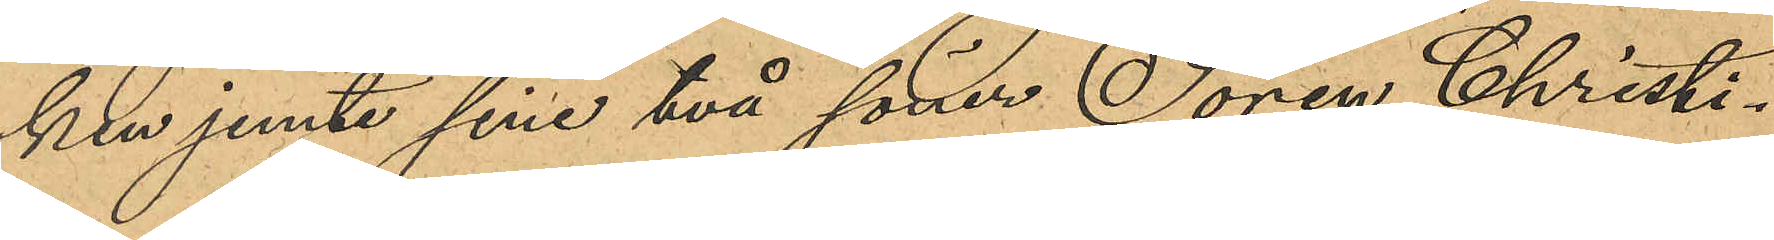ken jemte sine två söner Sören Christi¬
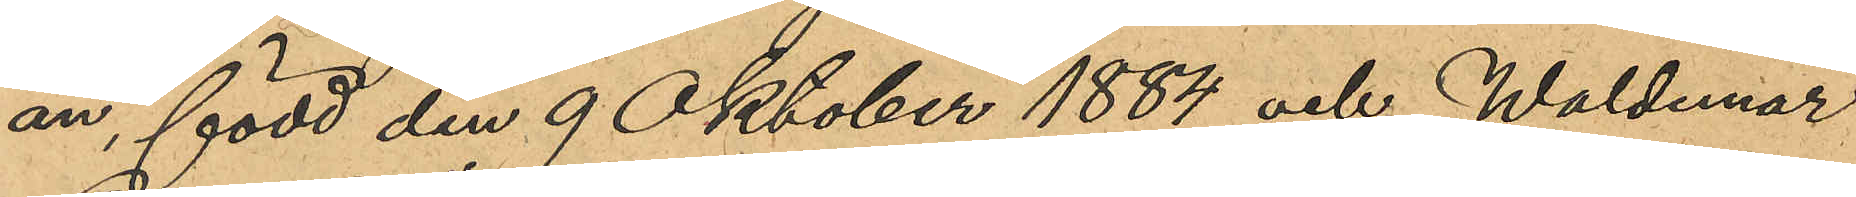an, född den 9 Oktober 1884 och Waldemar
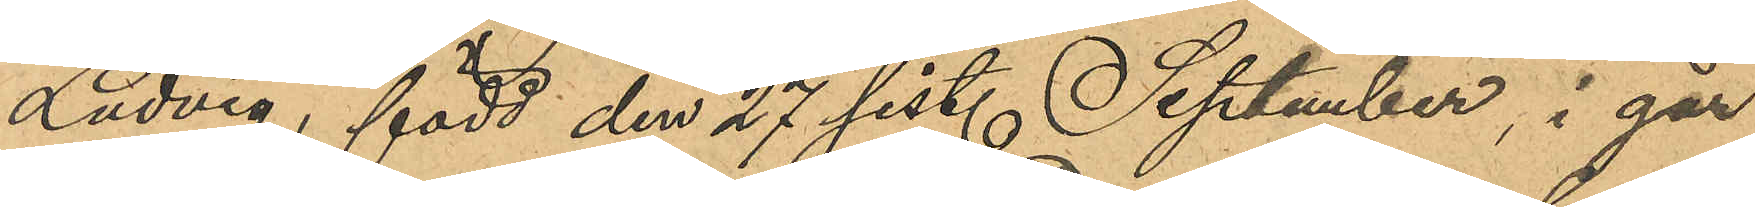Ludvig, född den 27 sist. September, i går
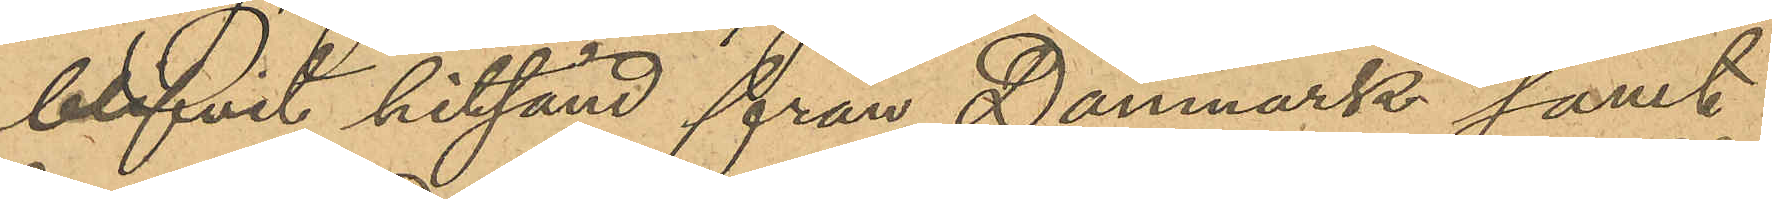blifvit hitsänd från Danmark samt
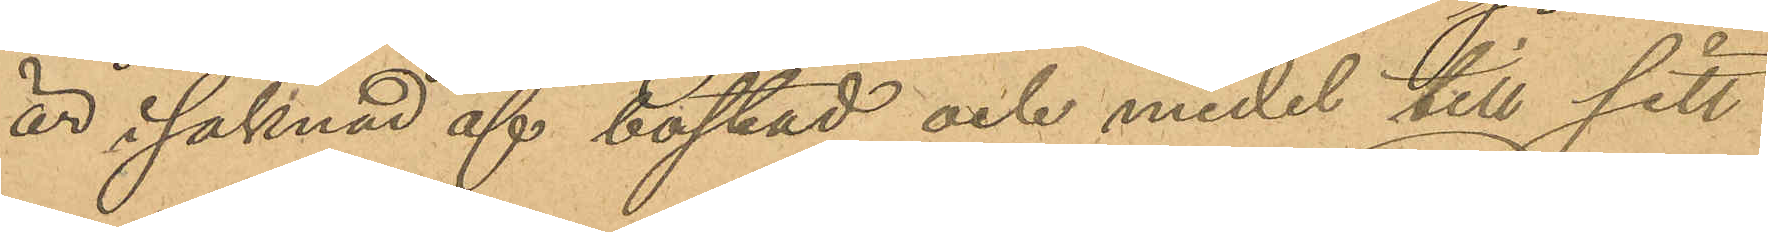är i saknad af bostad och medel till sitt
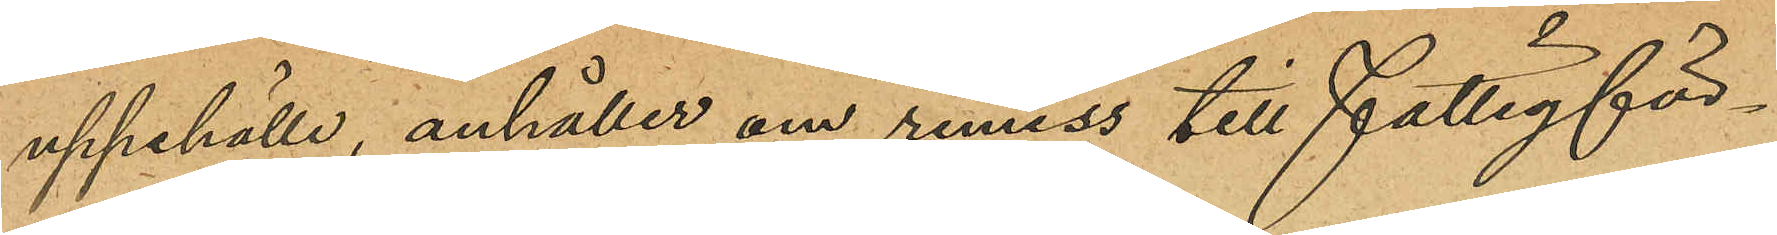uppehälle, anhåller om remiss till fattigför¬
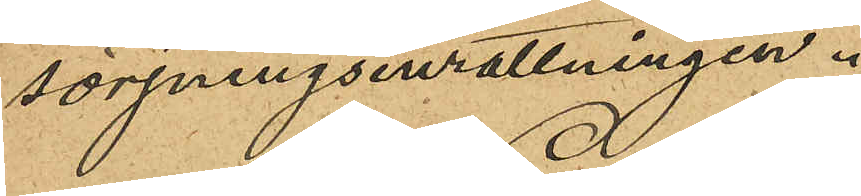sörjningsinrättningen.
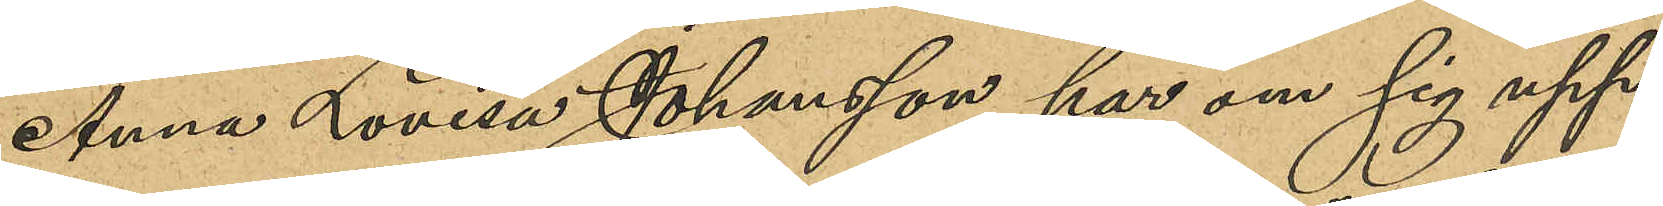Anna Lovisa Johansson har om sig upp¬
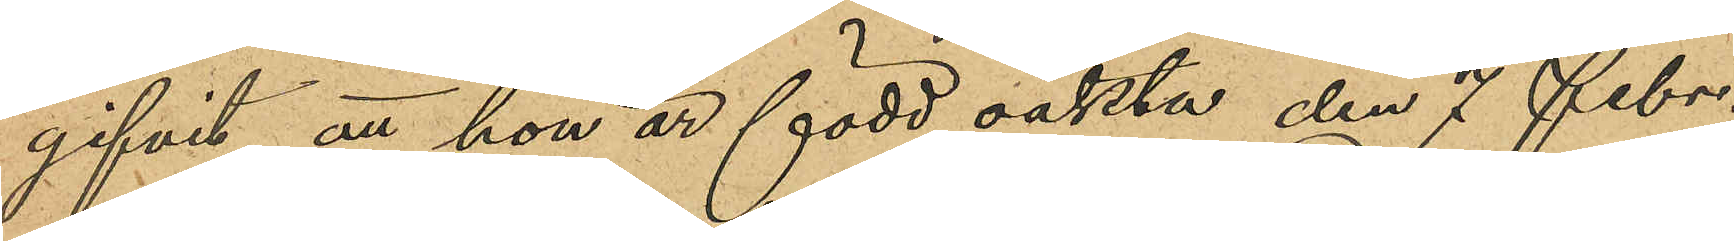gifvit, att hon är född oäkta den 7 Febr.
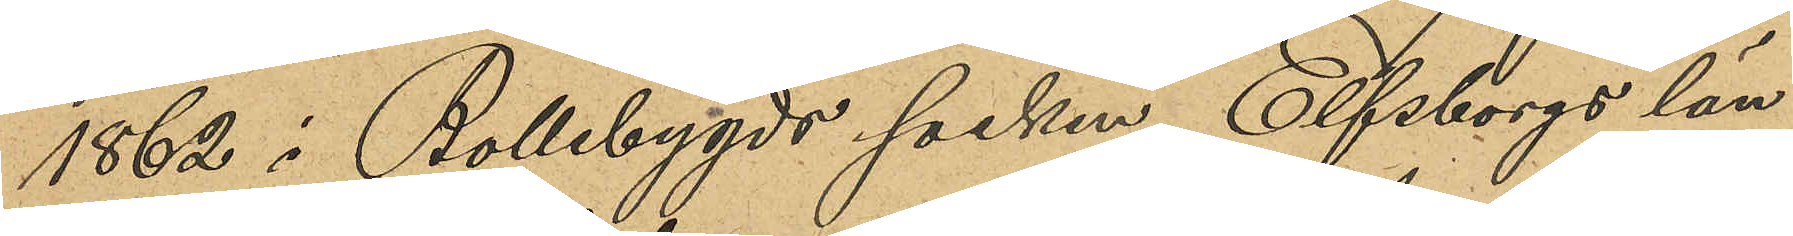1862 i Bollebygds socken, Elfsborgs län
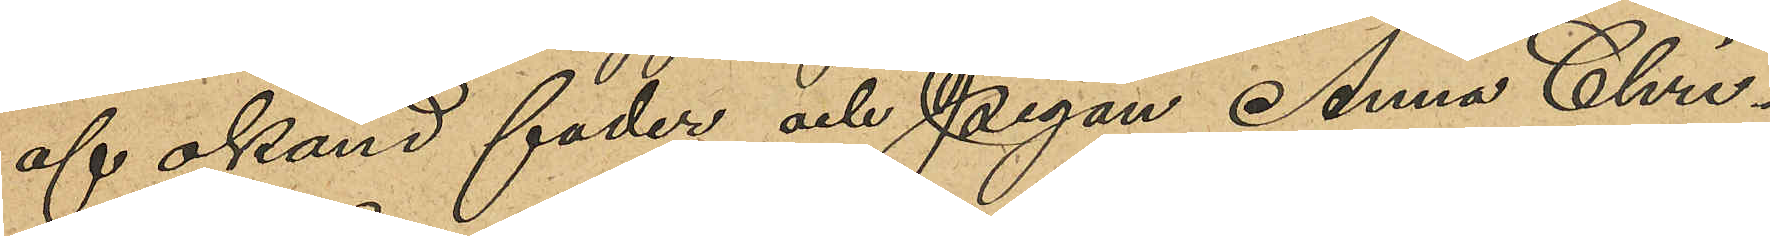af okänd fader och Pigan Anna Chri¬
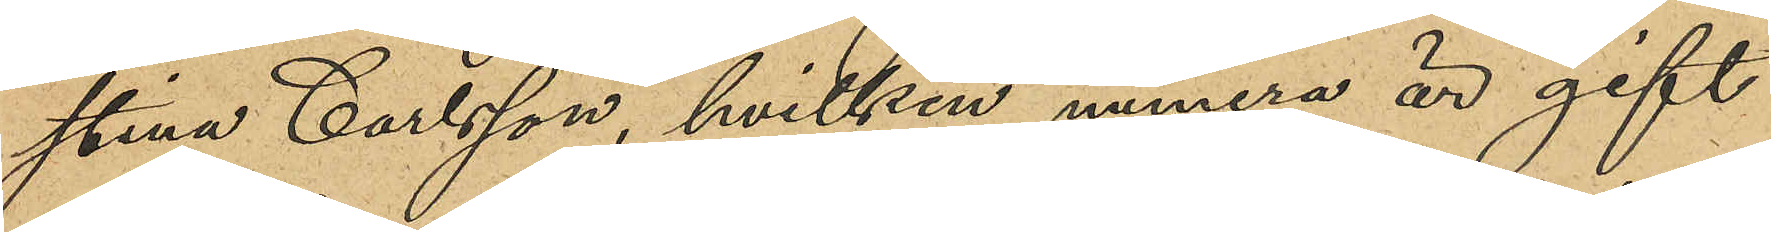stina Carlsson, hvilken numera är gift
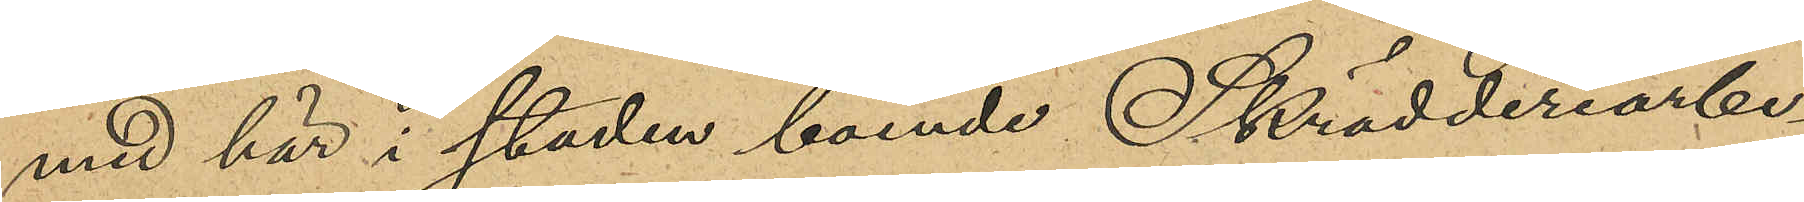med här i staden boende Skrädderiarbe¬
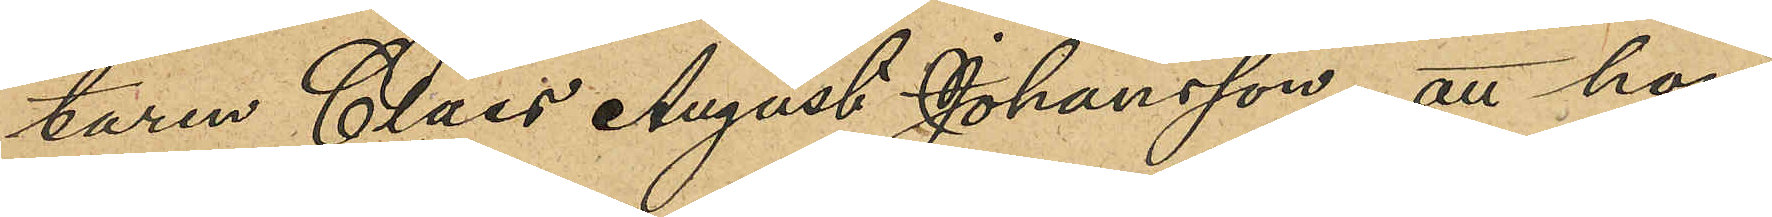taren Claes August Johansson; att hon
